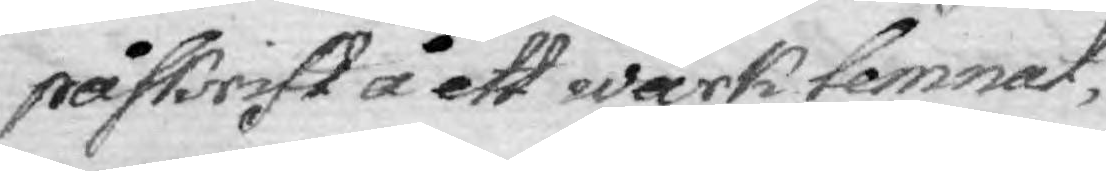påskrift å ett wärk lemnat,
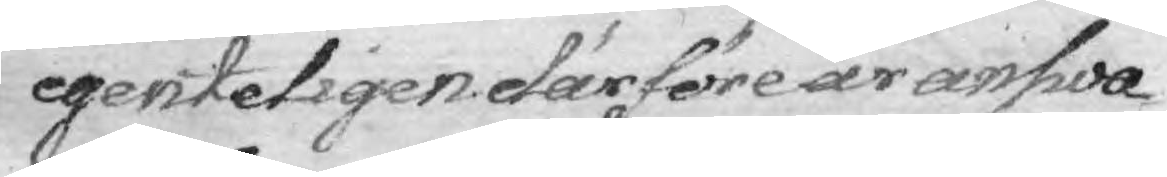egenteligen därföre är answa¬
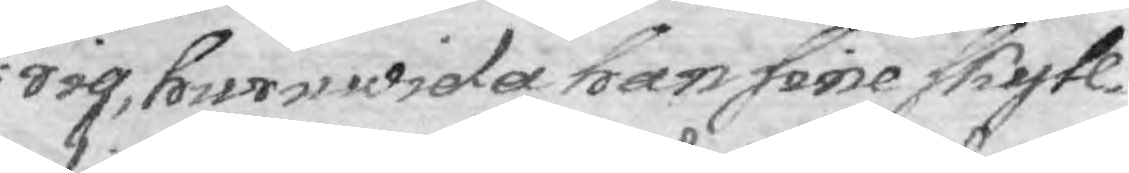rig, huruwida han sine skyll¬
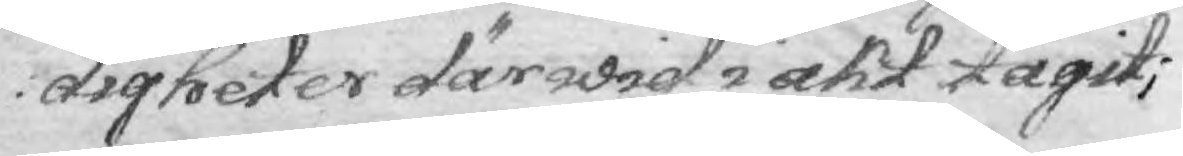digheter därwid i akt tagit;
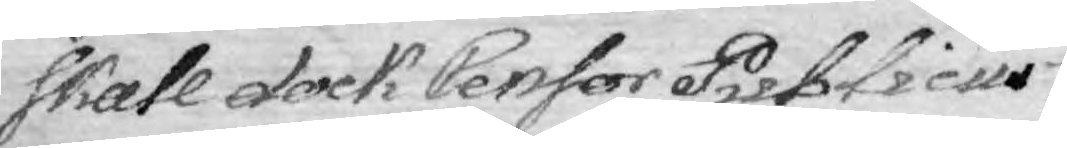skall dock Censor Publicus
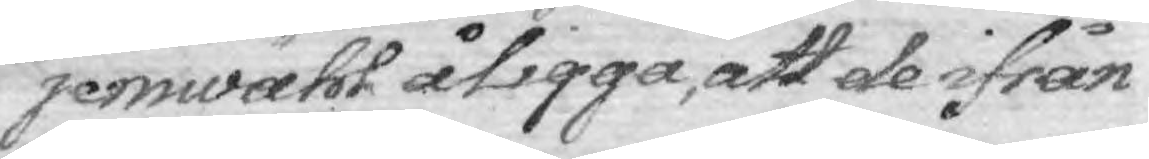jemwähl åligga, att de ifrån
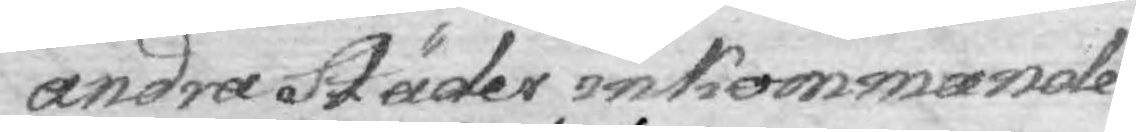andra Städer inkommande
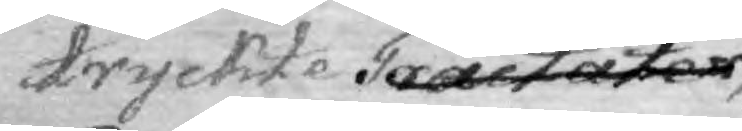tryckte Tractater
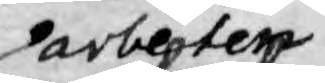arbetetn
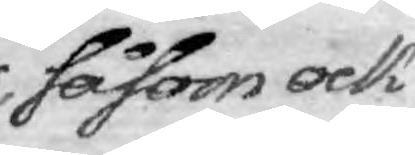såsom ock
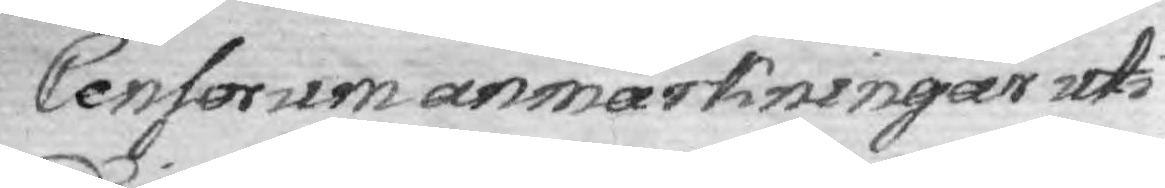Censorum anmärkningar uti
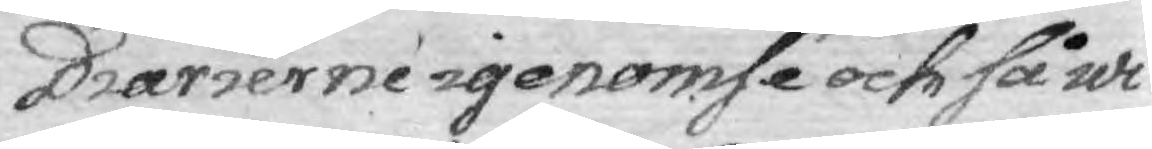Diarierne igenomsé och så wi¬
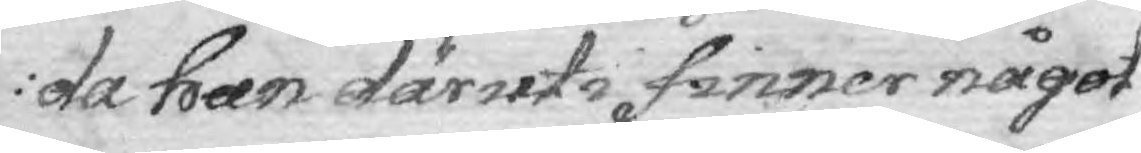da han däruti finner något
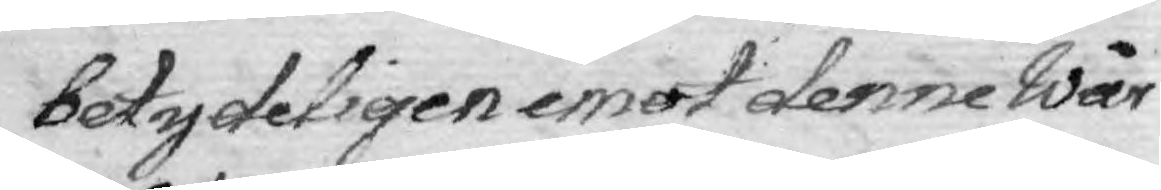betydeligen emot denne Wår
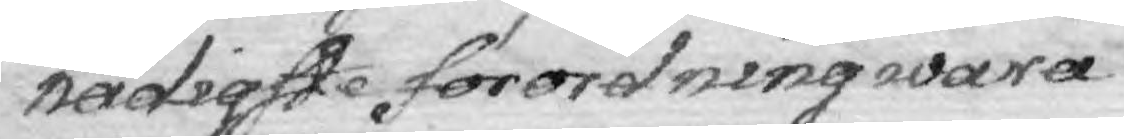nådigste förordning wara
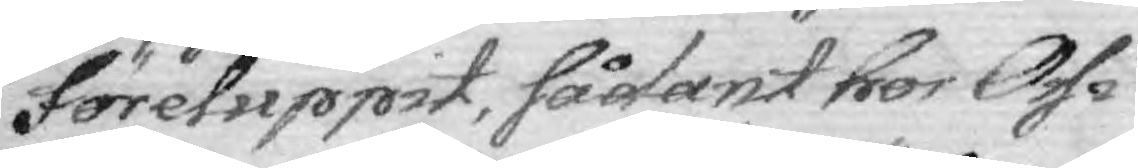föreluppit, sådant hos Oss i
